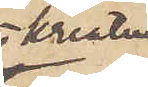kreatur,
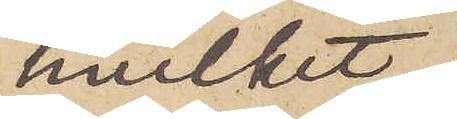hvilket
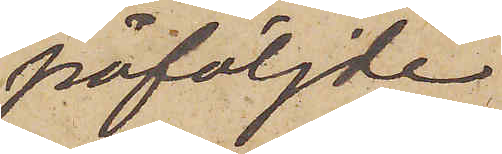påföljde
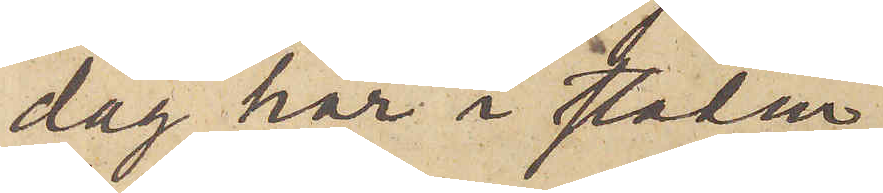dag här i staden
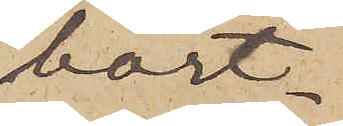bort¬
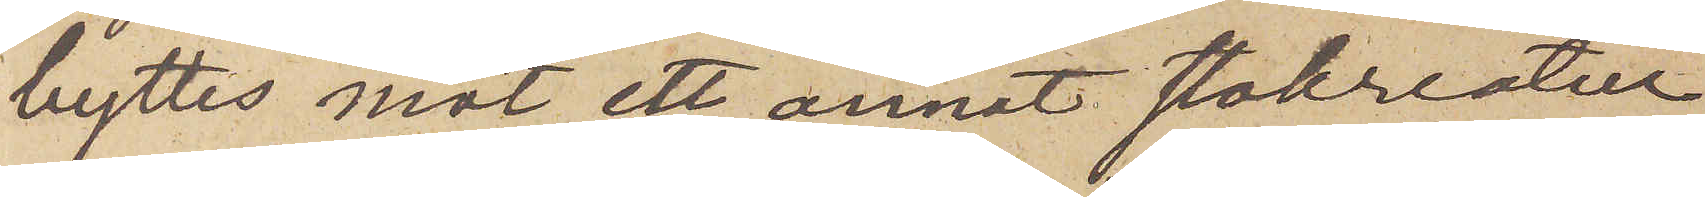byttes mot ett annat stokreatur
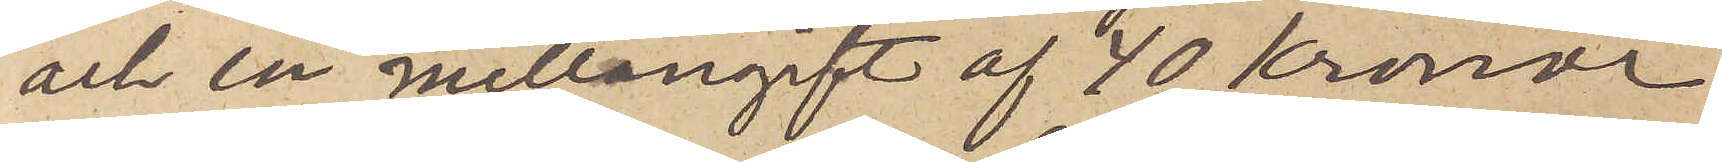och en mellangift af 40 Kronor
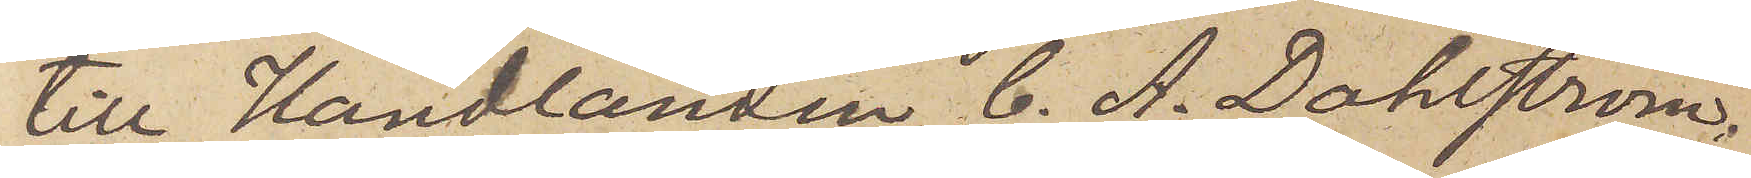till Handlanden C. A. Dahlström
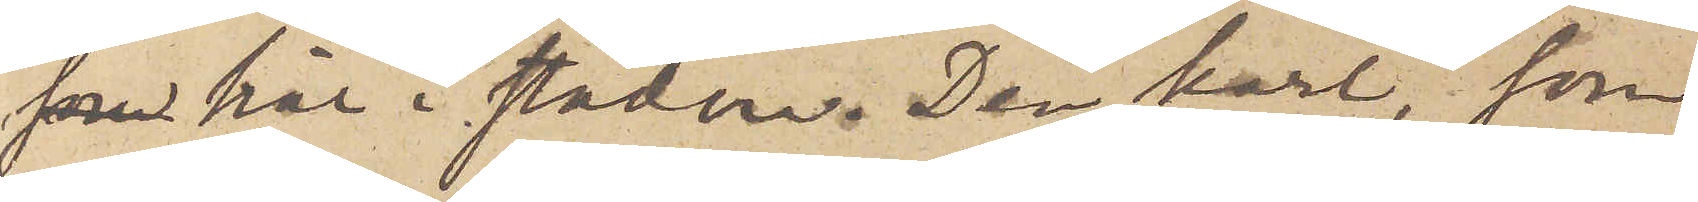 här i staden. Den karl, som
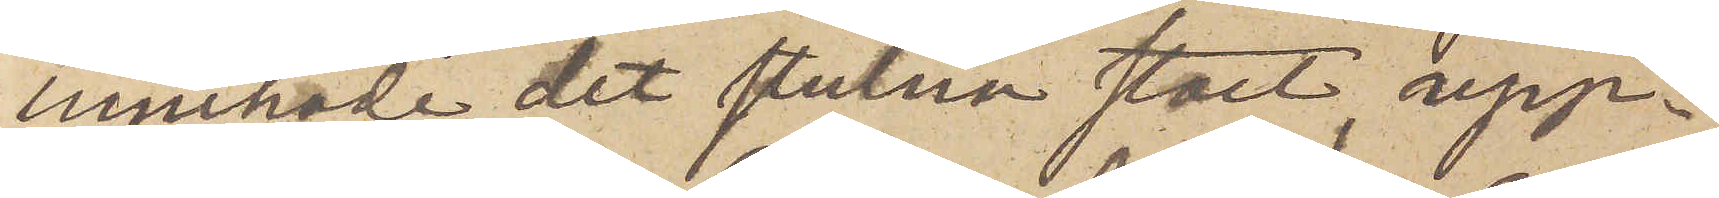innehade det stulna stoet, upp¬
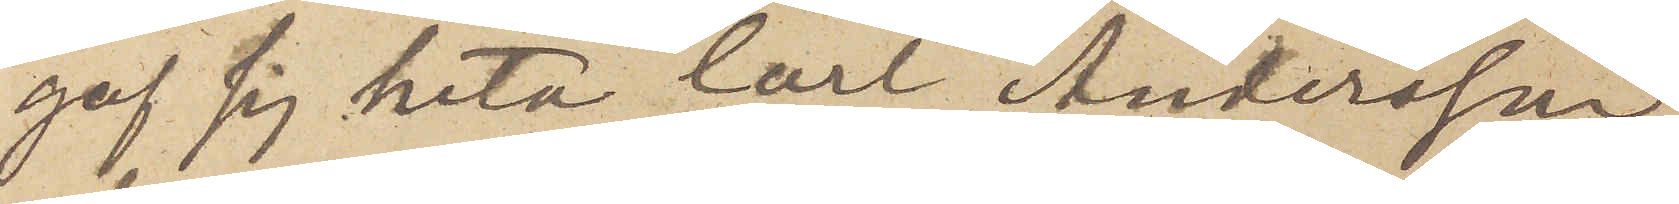gaf sig heta Carl Andersson
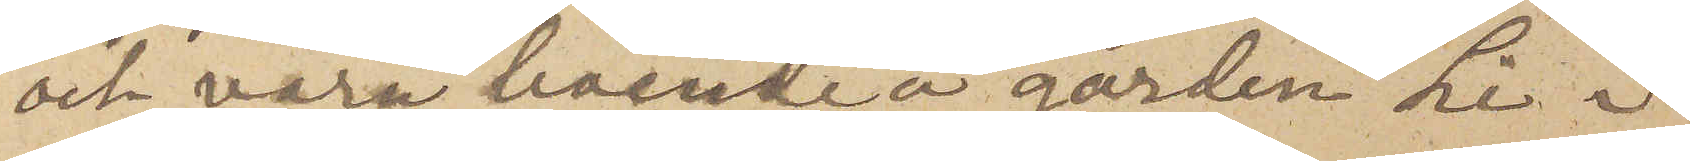och vara boende å gården Li i
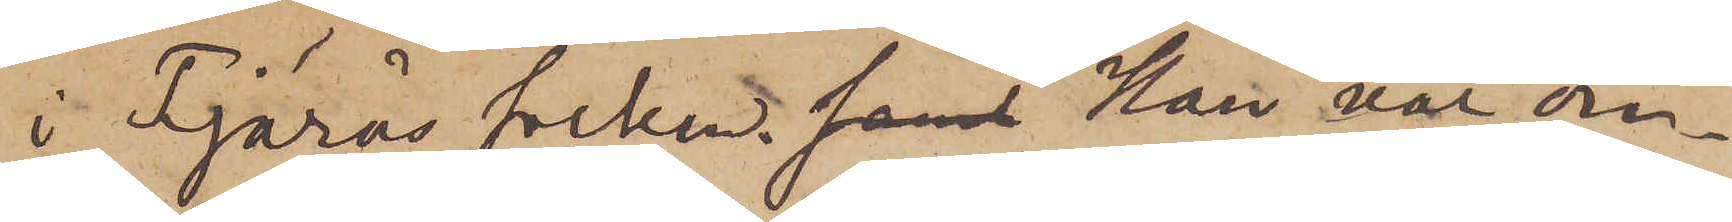i Fjärås socken. Han var om¬
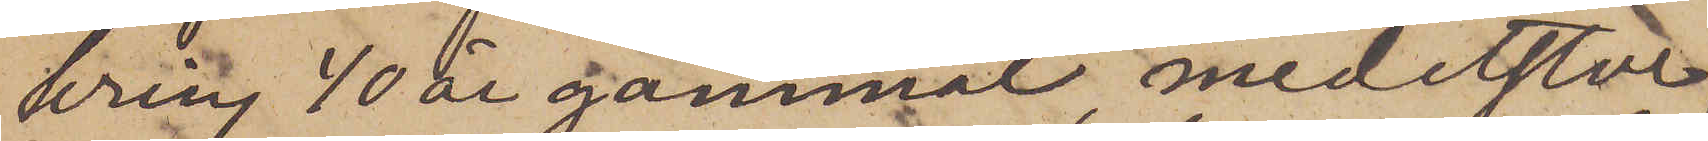kring 40 år gammal, medelstor,
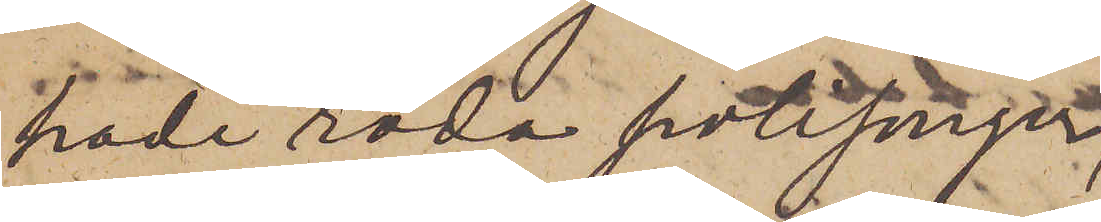hade röda polisonger
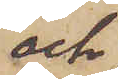och
